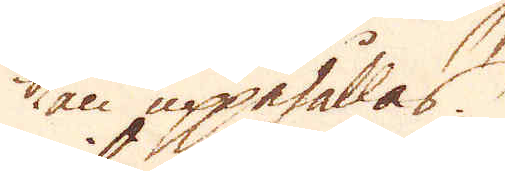kan uppehållas.
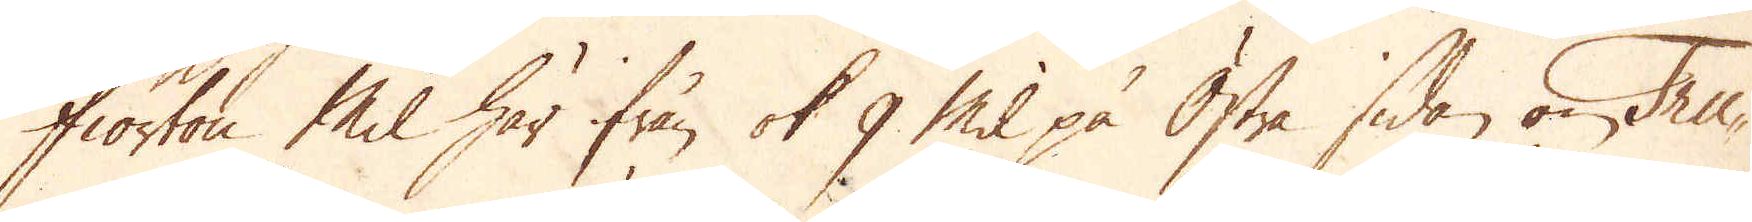Fiorton Mil här ifrån ok 9 Mil på Östra sidan om Tru-
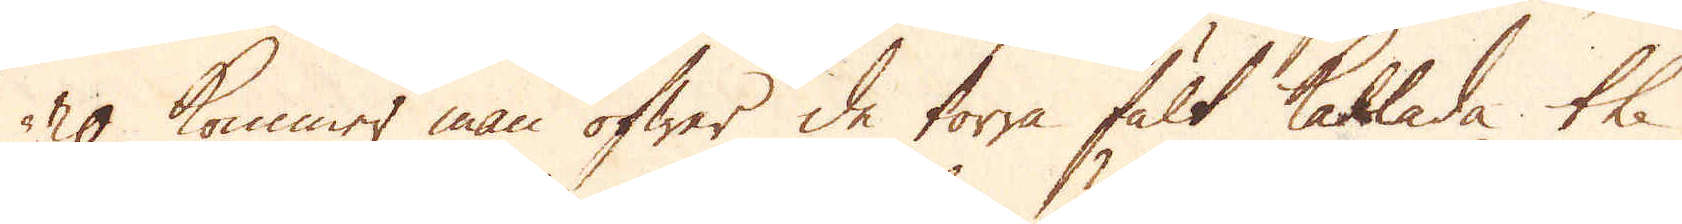ro kommer man öfwer de torra fält kallade the
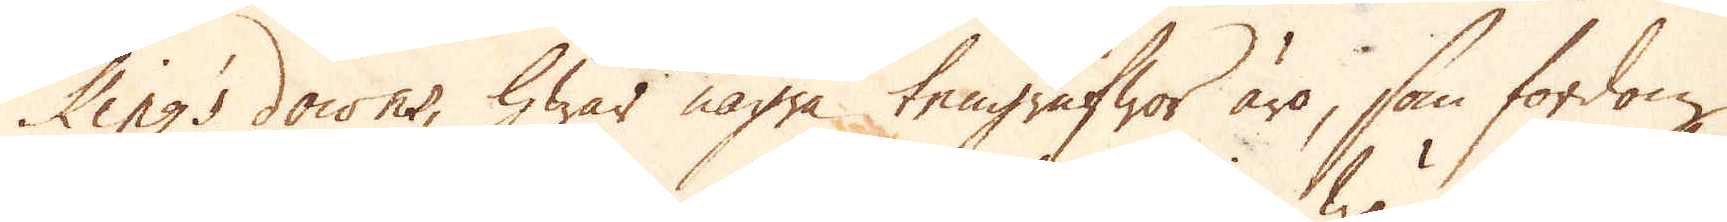King's downs, hwar några tengrufwor äro, som fordom
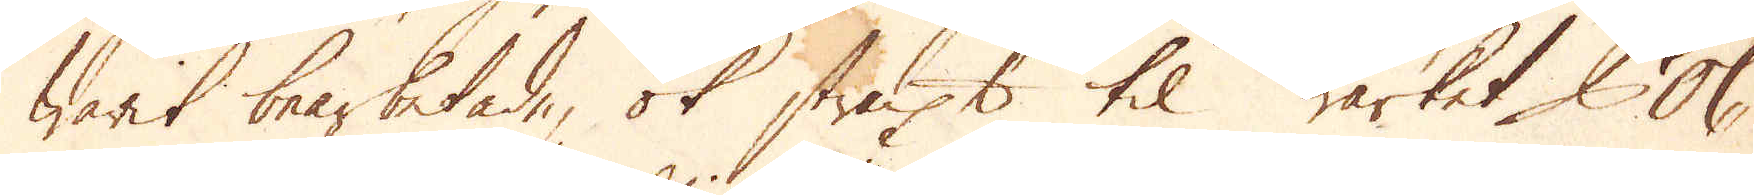warit bearbetade, ok straxt til wärket Col,
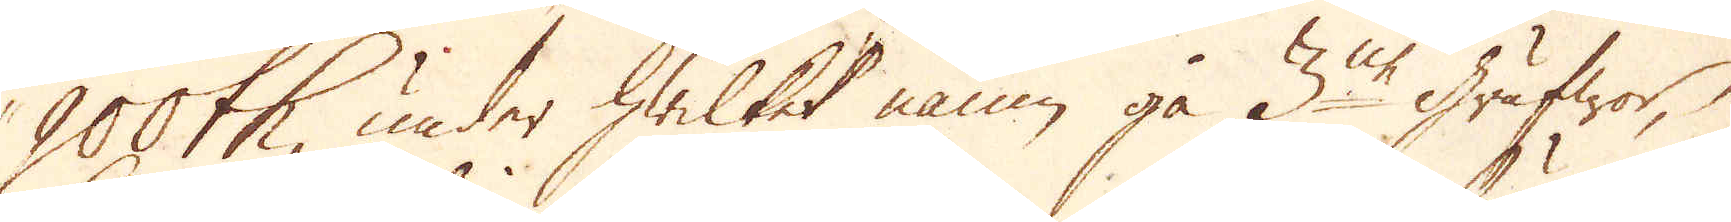900th, under hwilket namn gå 3ne grufwor,
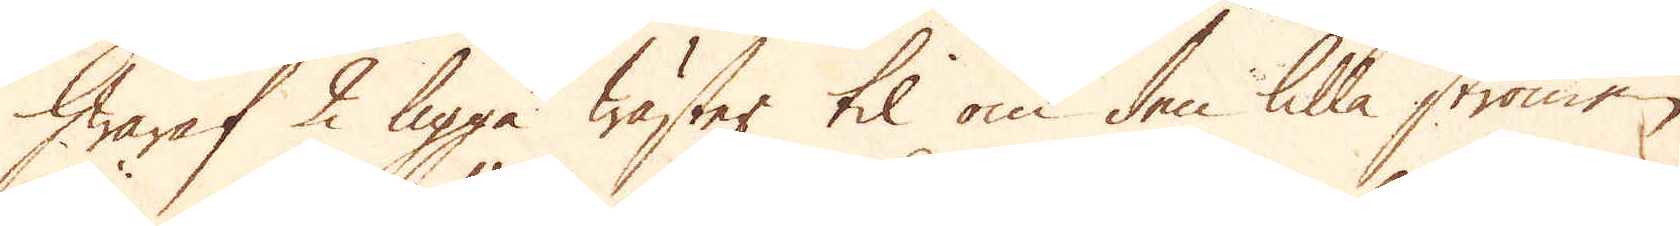hwaraf 2 ligga Wäster til om den lilla strömen
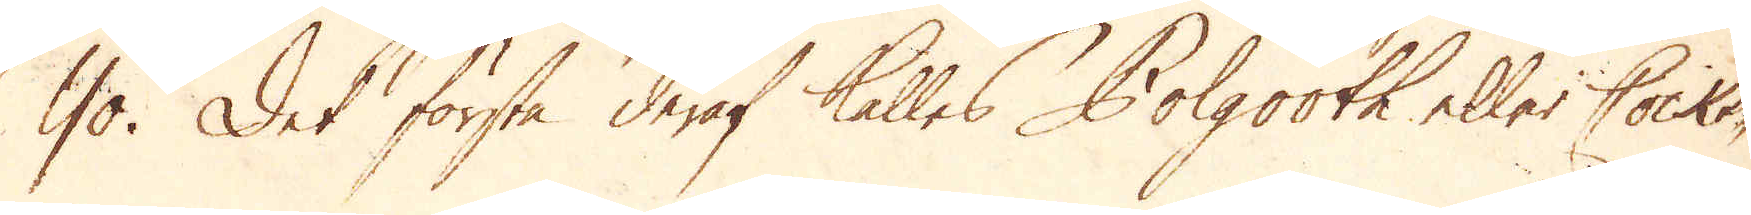Yo. Det första deraf kallas Polgooth eller Cocks-
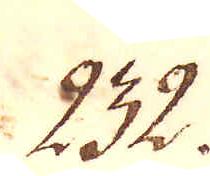232.
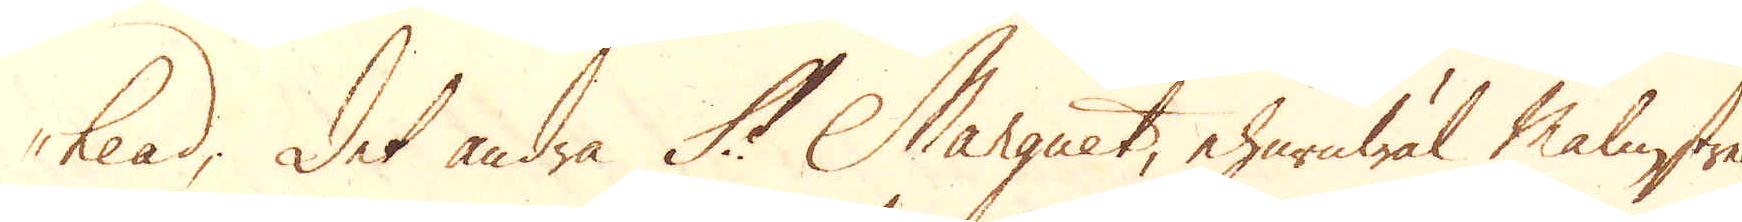head; Det andra St Marguet, ehuruwäl Malmstrec-
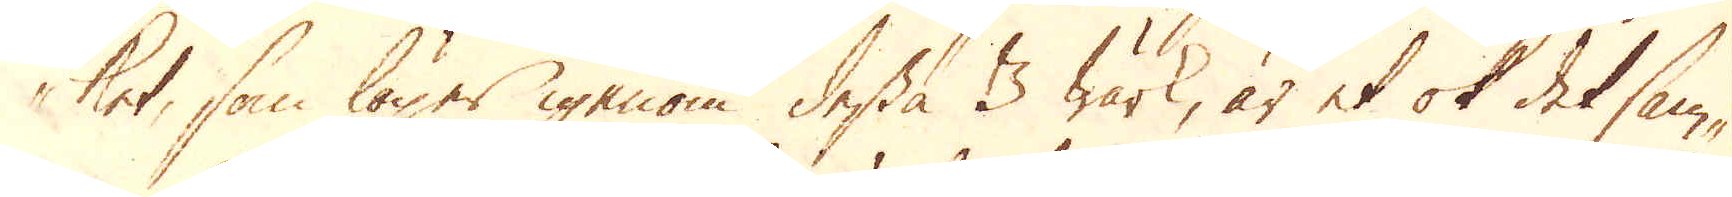ket, som löper igenom dessa 3 wärk, är et ok det sam-
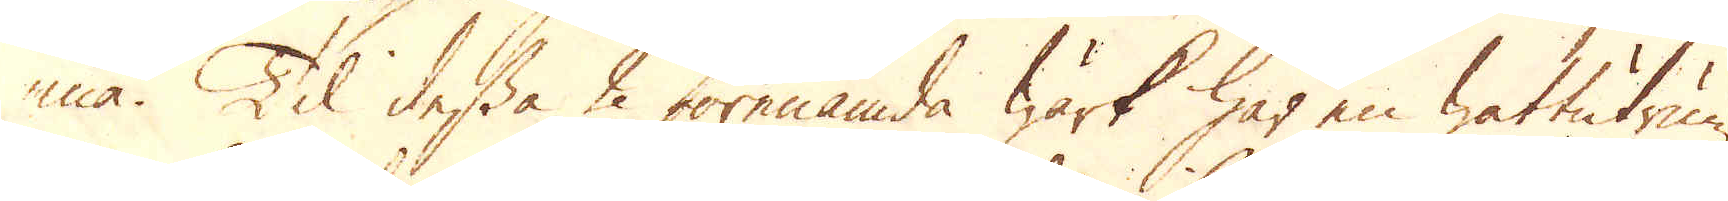ma. Til dessa 2 förenämda wärk har en wattutrum-
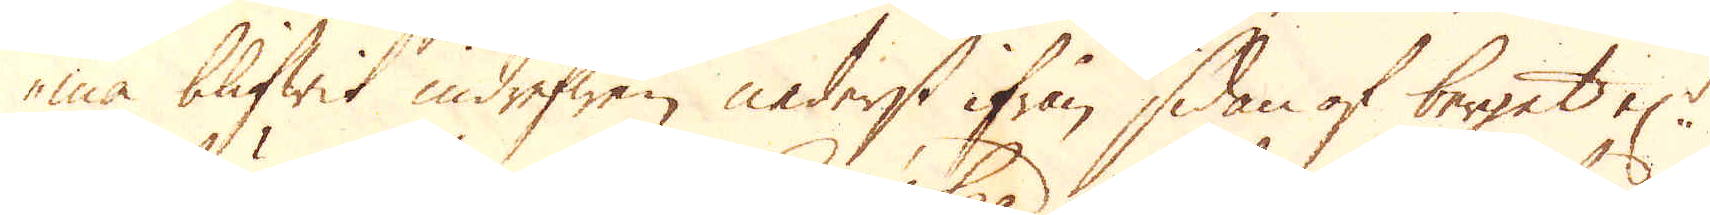ma blifwit indrefwen nederst ifrån sidan af berget el:r
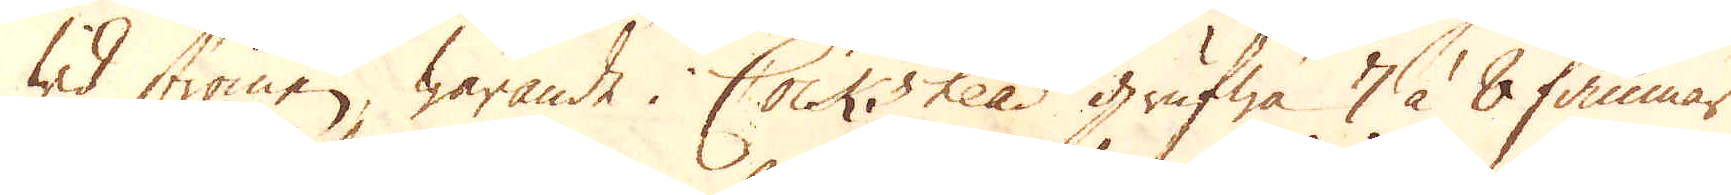wid strömen, warande i Cock's head grufwa 7 à 8 famnar
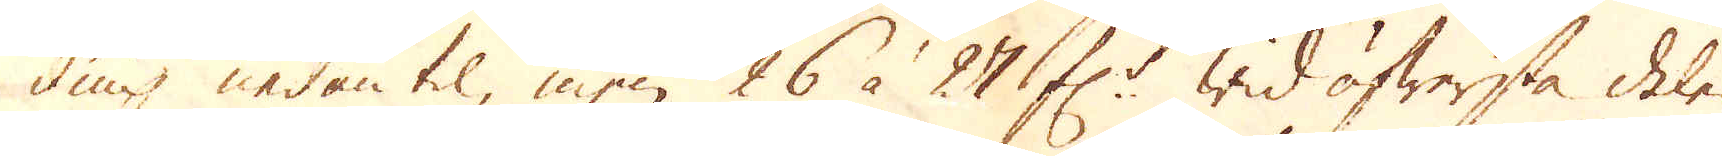diup nedantil, men 26 à 27 f:r wid öfwersta delen
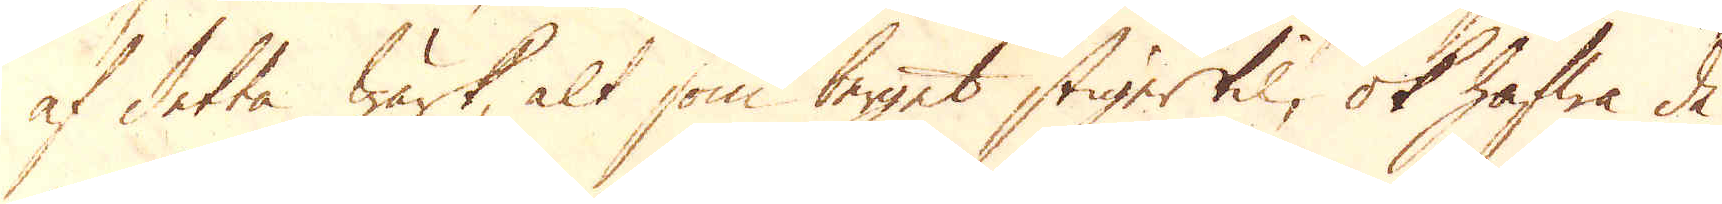af detta Wärk, alt som berget stiger til, ok hafwa de
